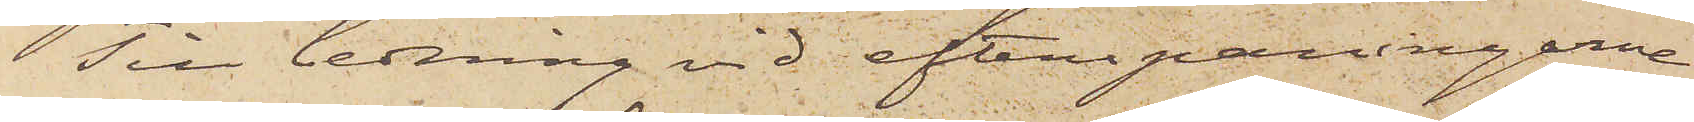Till ledning vid efterspaningarne
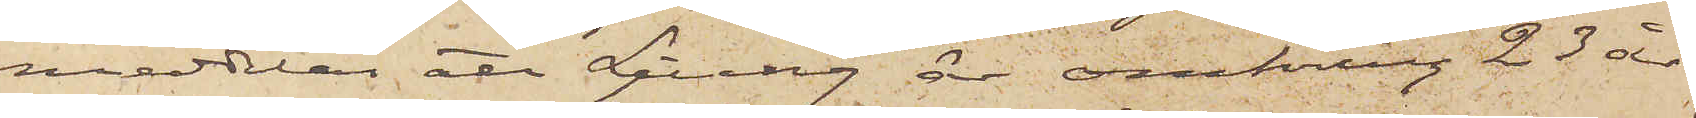meddelas att Ljung är omkring 25 år
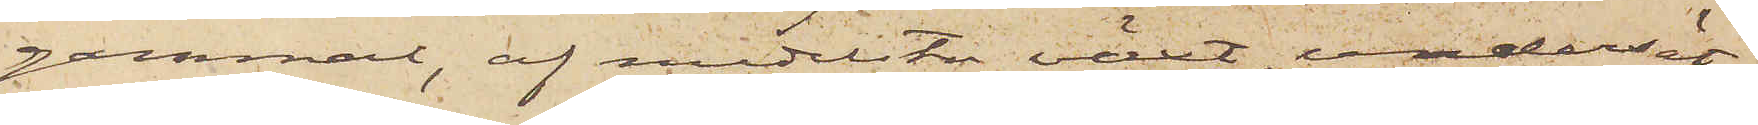gammal, af medelstor växt, undersät¬
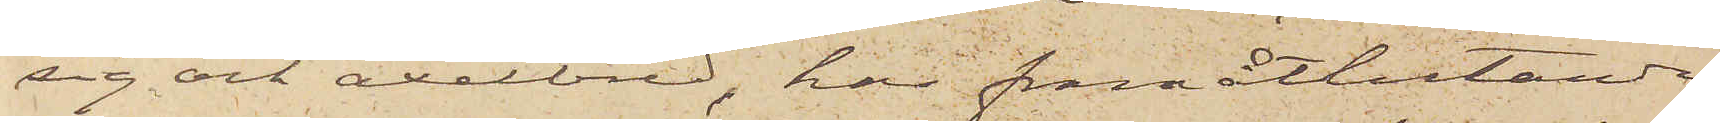sig och axelbred, har framåtlutande
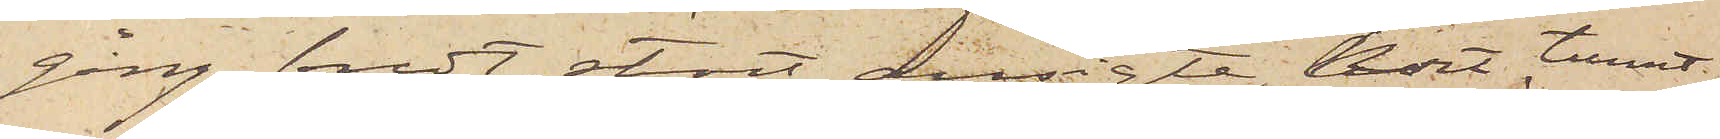gång, bredt, stort ansigte, kort tunnt,
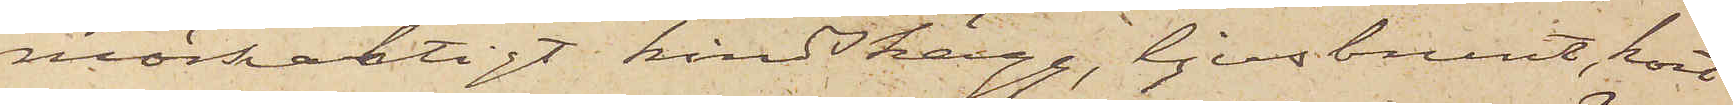mörkaktigt kindskägg, ljusbrunt, kort
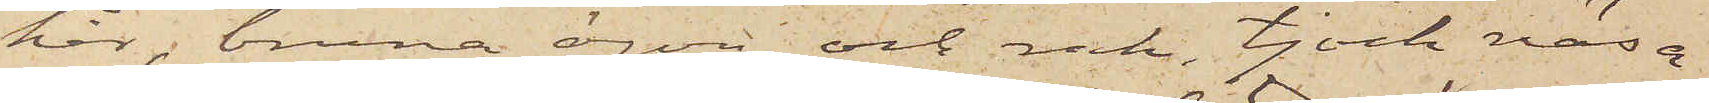hår, bruna ögon och rak, tjock näsa,
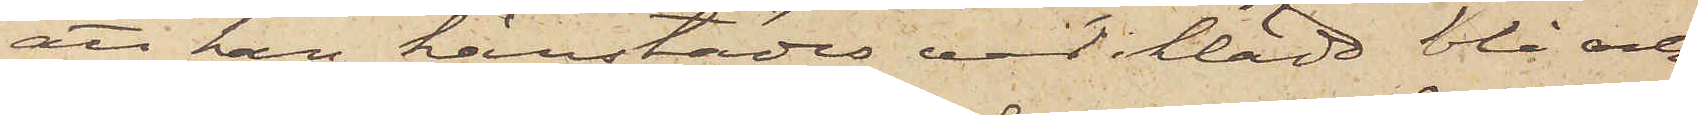att han härstädes varit iklädd blå och
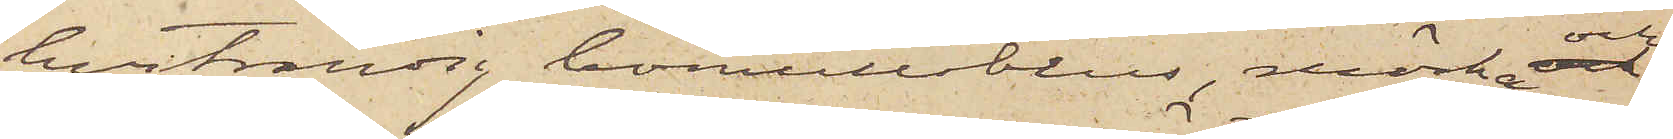hvitrandig bomullsblus, mörka och
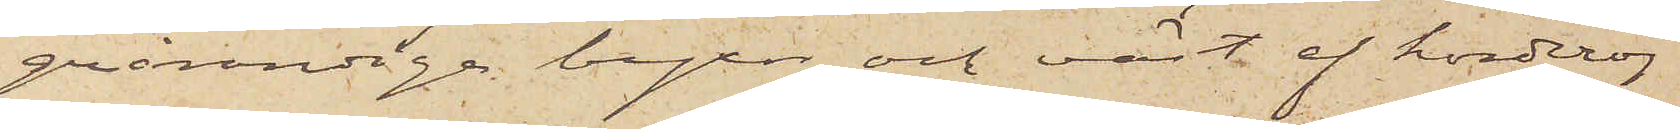grårandiga byxor och väst af korderoj
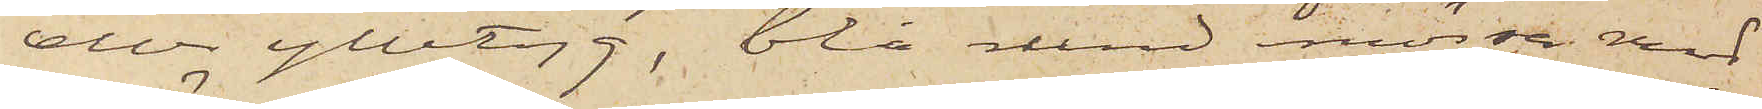eller ylletyg, blå rund mössa med
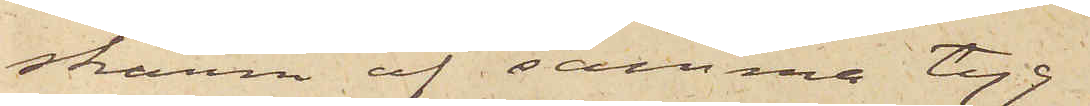skärm af samma tyg
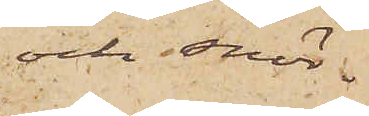och snör¬
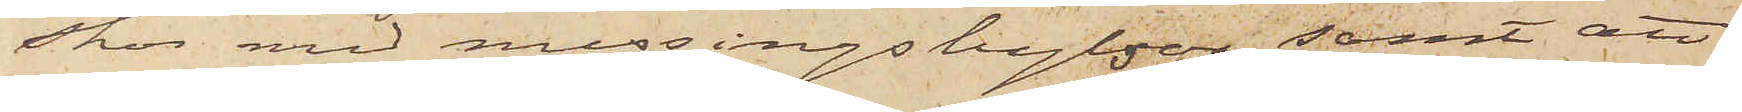skor med messingshylsor; samt att
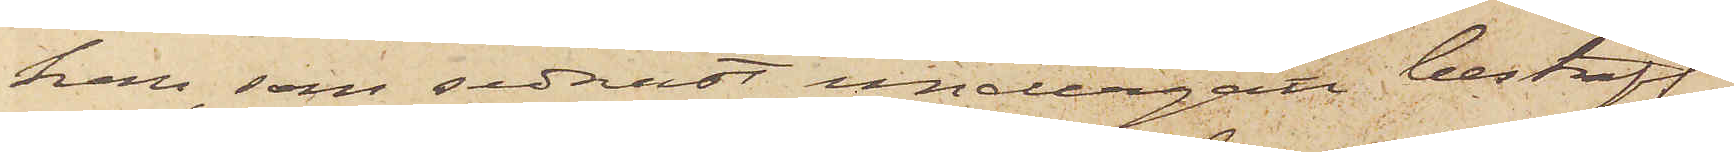han som sednast undergått bestraff¬
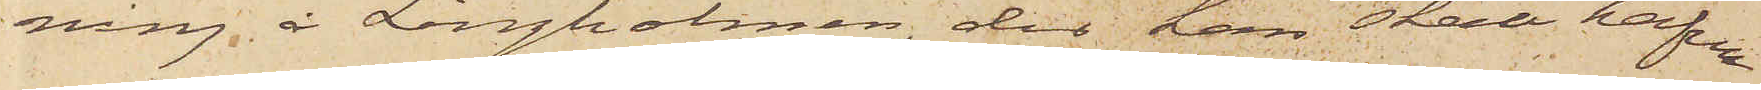ning å Långholmen, der han skall hafva
